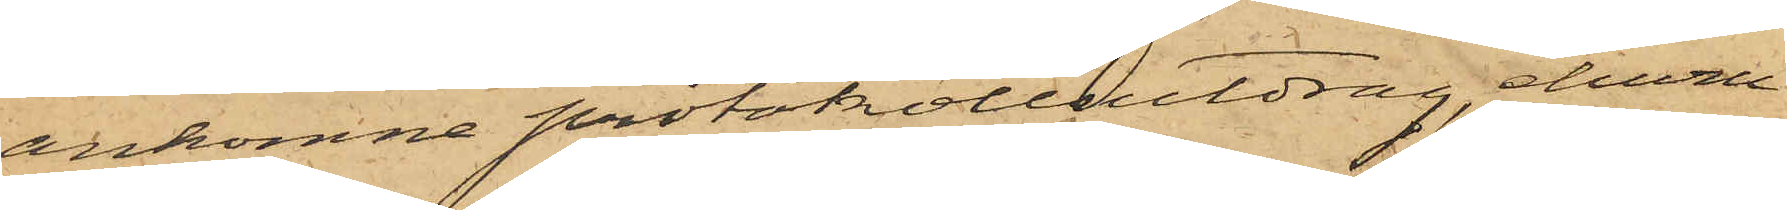ankomne protokollutdrag, ehuru
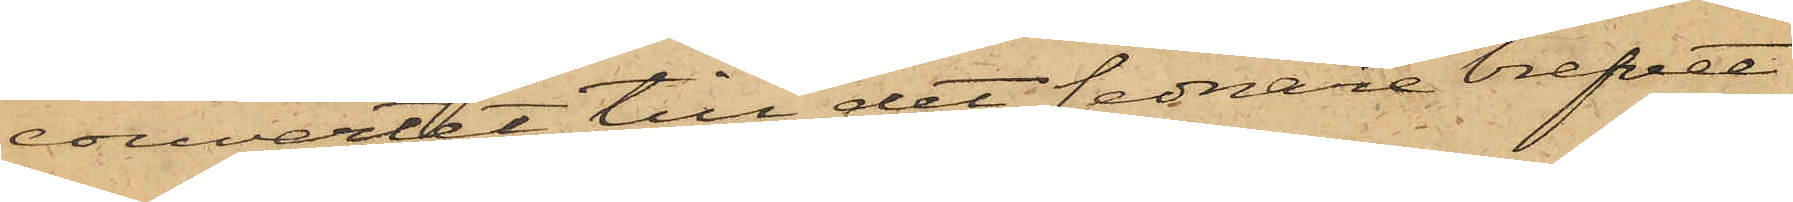couvertet till det sednare brefvet
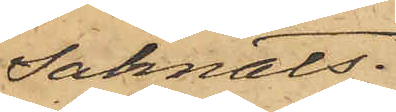saknats.
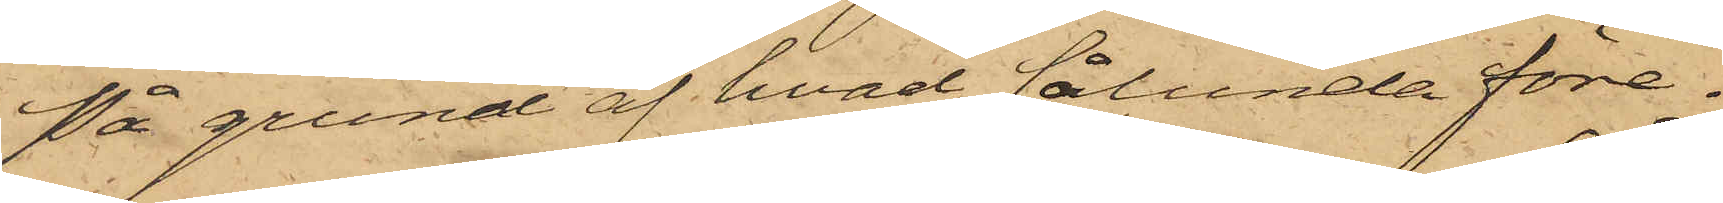På grund af hvad sålunda före¬
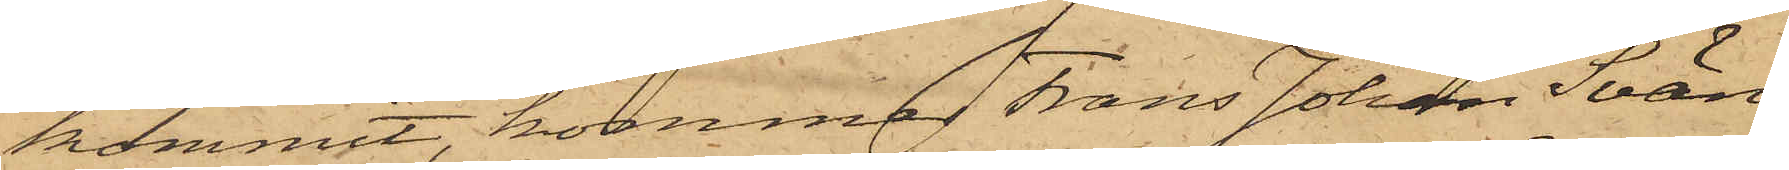kommit, kommer Frans Johan Svän¬
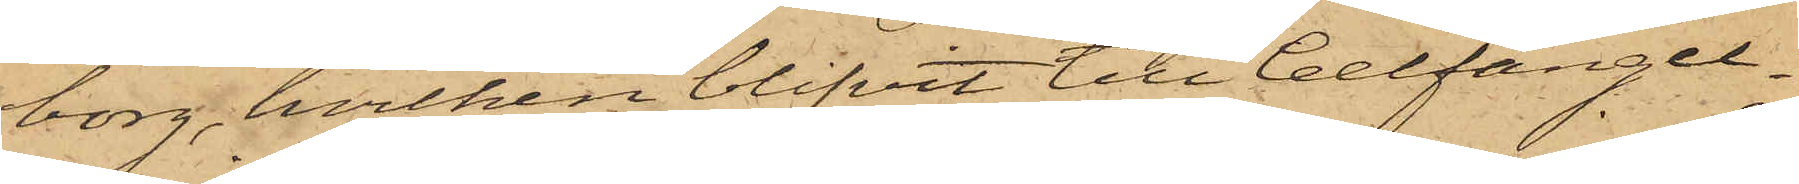borg, hvilken blifvit till Cellfängel¬
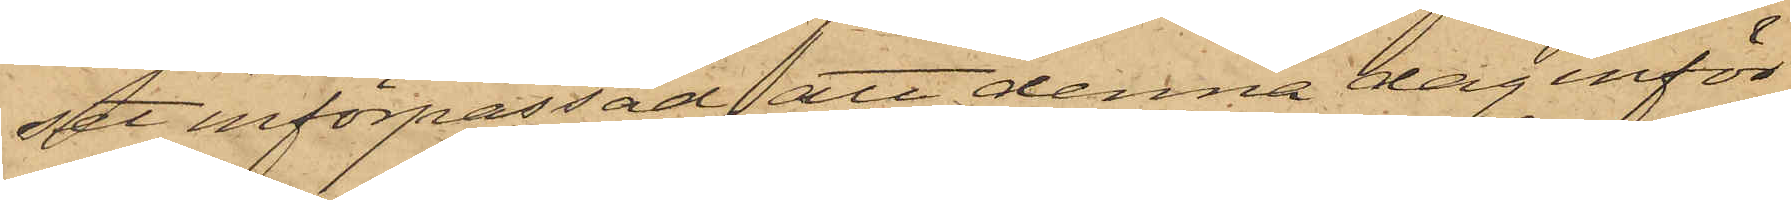set införpassad, att denna dag inför
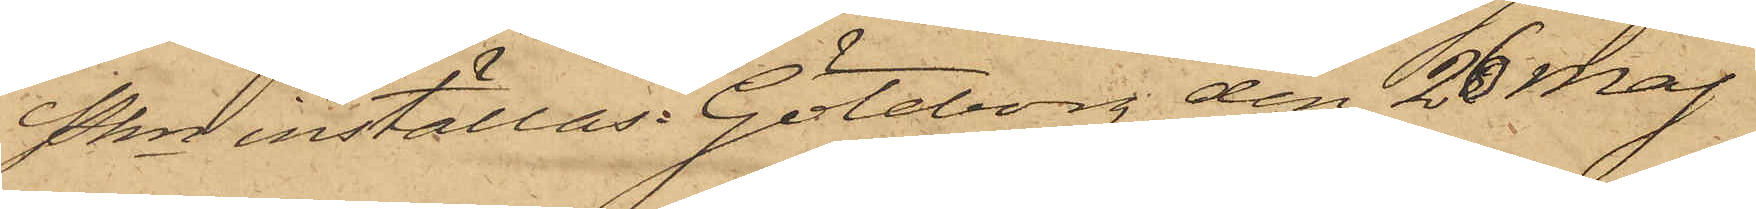Pkn inställas. Göteborg den 26 Maj
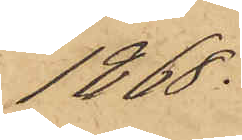1868.
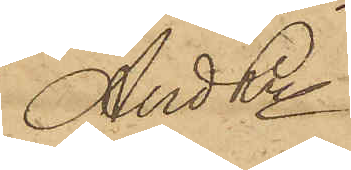And Ln
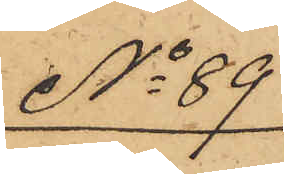No 89
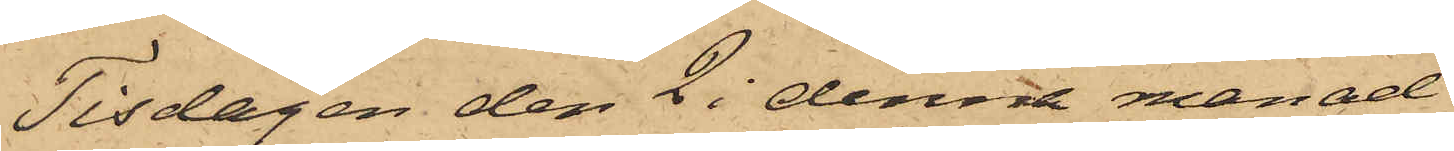Tisdagen den 2 i denna månad
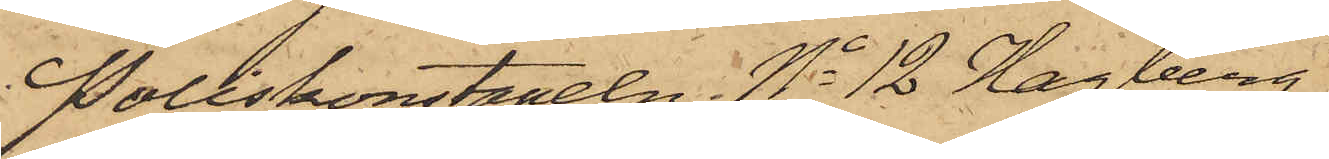Poliskonstapeln No 12 Hagberg
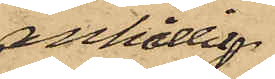anhållit
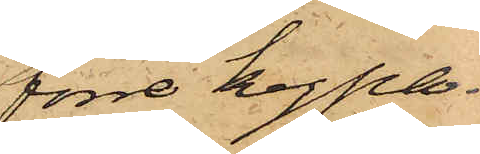förre Kypa¬
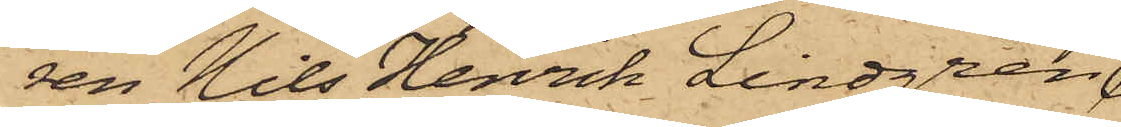ren Nils Henrik Lindgren
